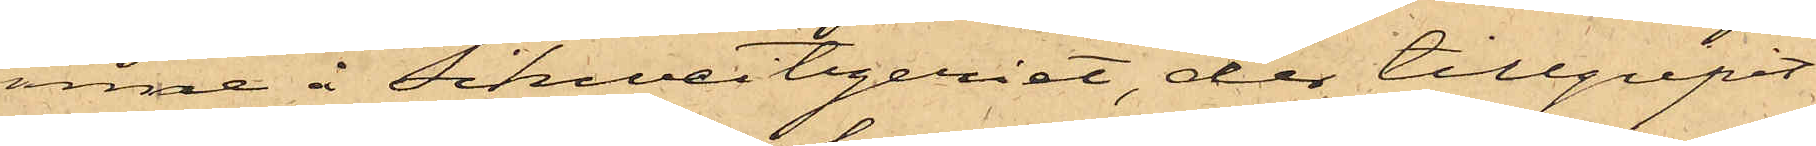inne å Schweitzeriet, der tillgripit
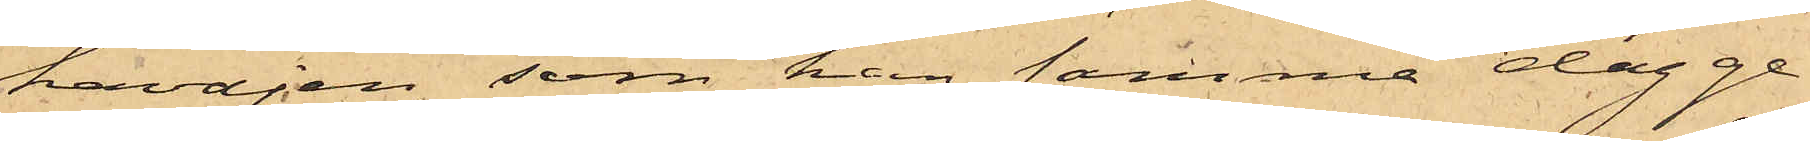kavajen, som han samma dag ge¬
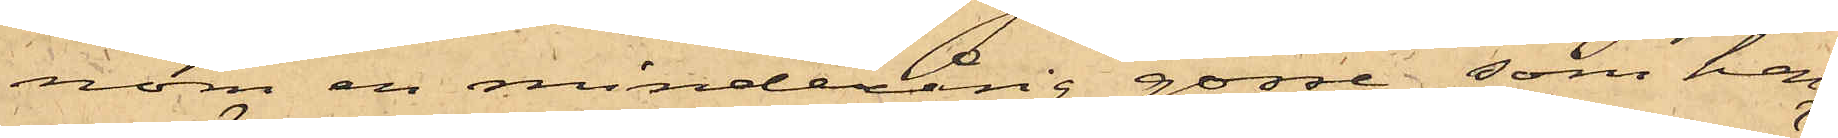nom en minderårig gosse som han
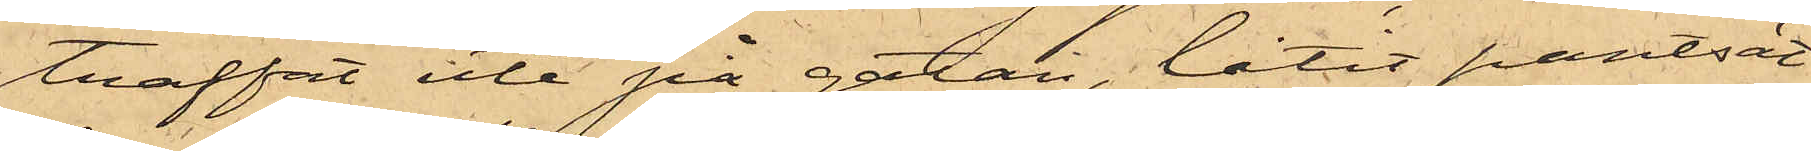träffat ute på gatan, låtit pantsät¬
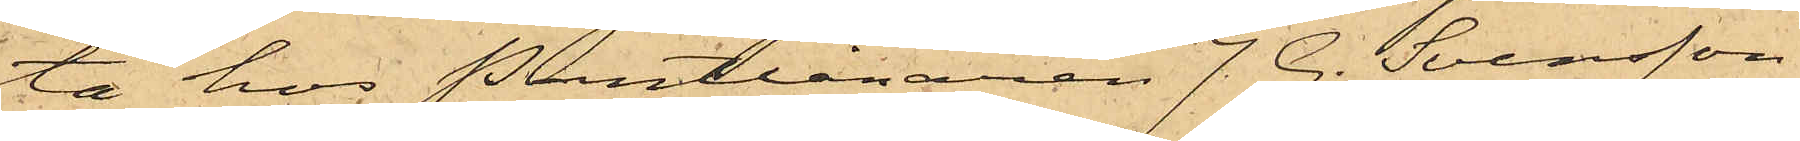ta hos Pantlånaren J. G. Svensson
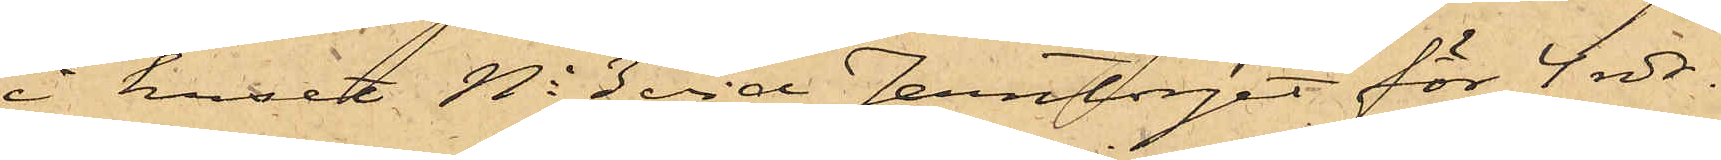i huset No 3 vid Jerntorget för 4 rdr.
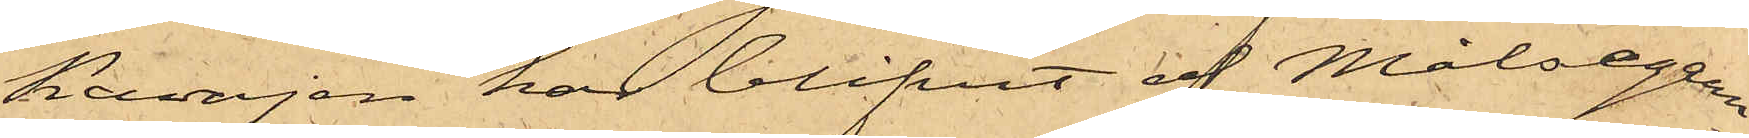Kavajen har blifvit af Målsegaren
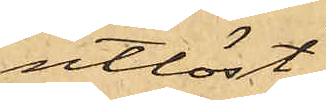utlöst.
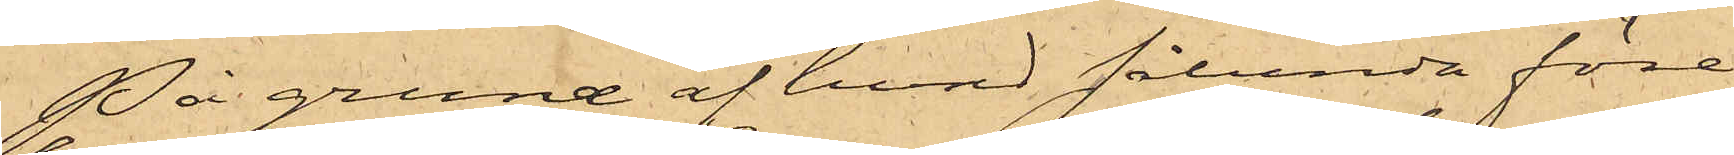På grund af hvad sålunda före¬
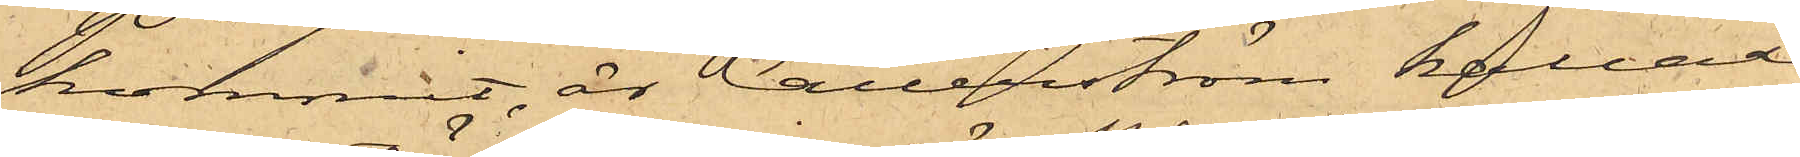kommit, är Callerström kallad
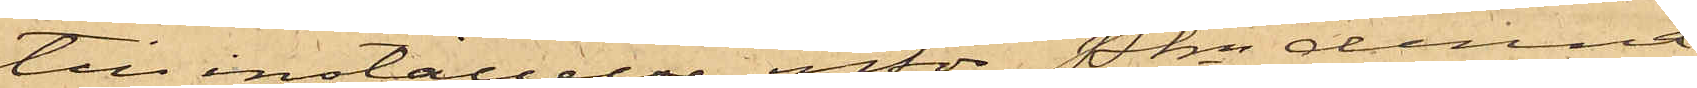till inställelse inför Pkn denna
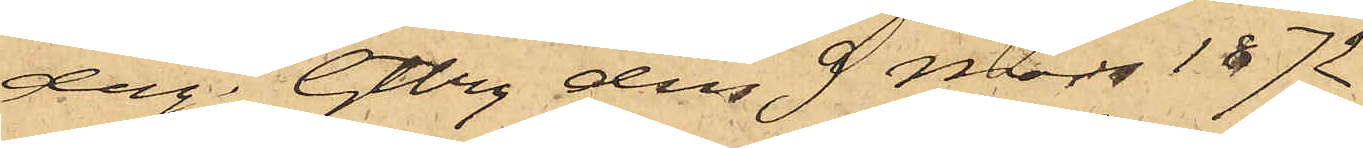dag. Gtbrg den 9 Mars 1872
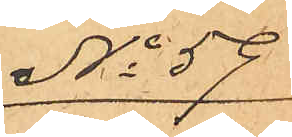No 59
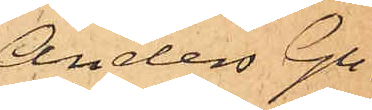Anders Gu¬
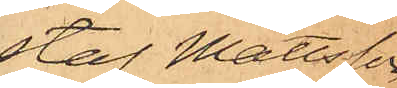staf Mattsson
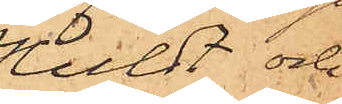Huldt och
